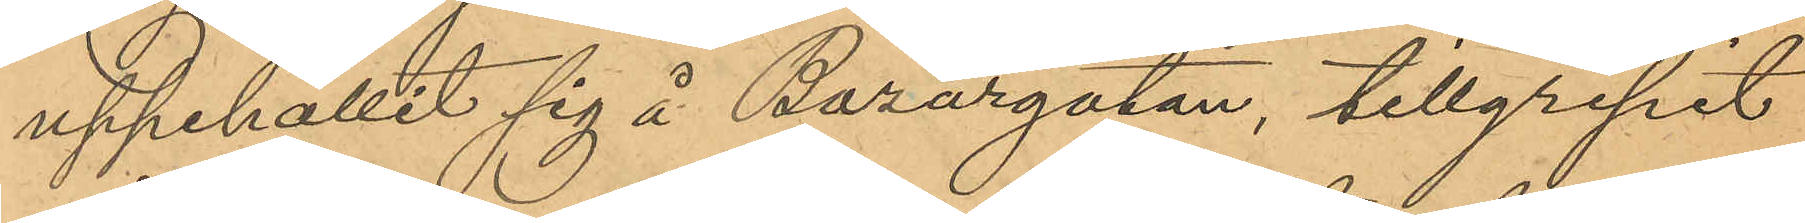uppehållit sig å Bazargatan, tillgripit
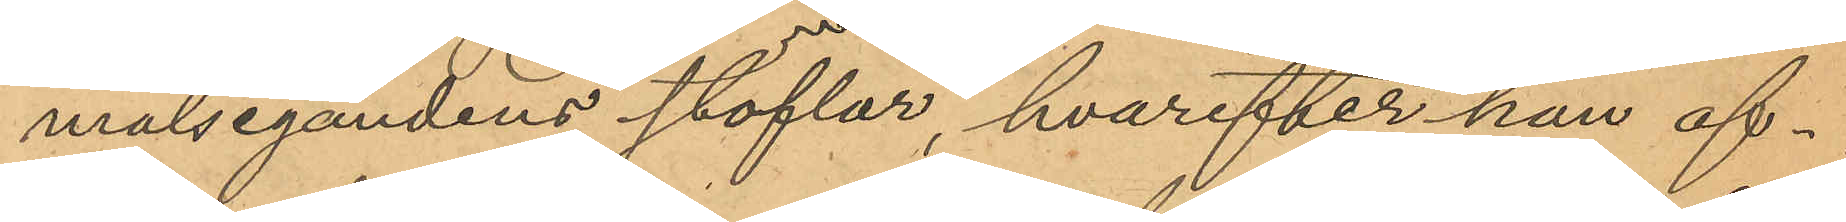målsegandens stöflar, hvarefter han af¬
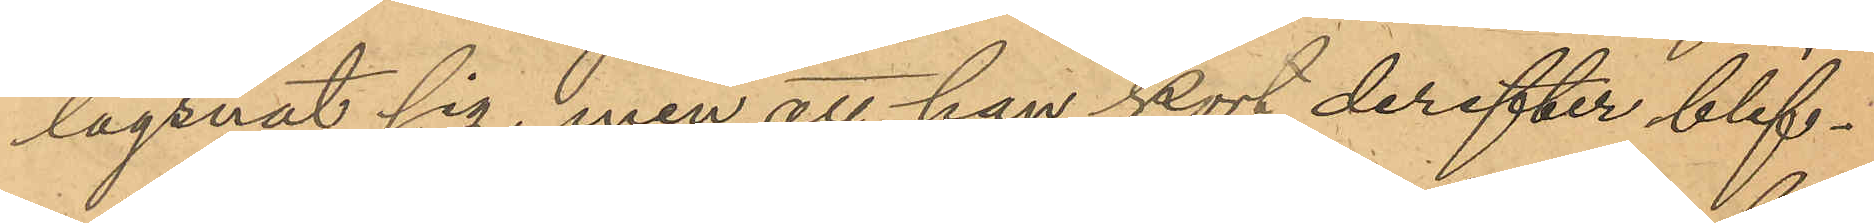lägsnat sig, men att han kort derefter blif¬
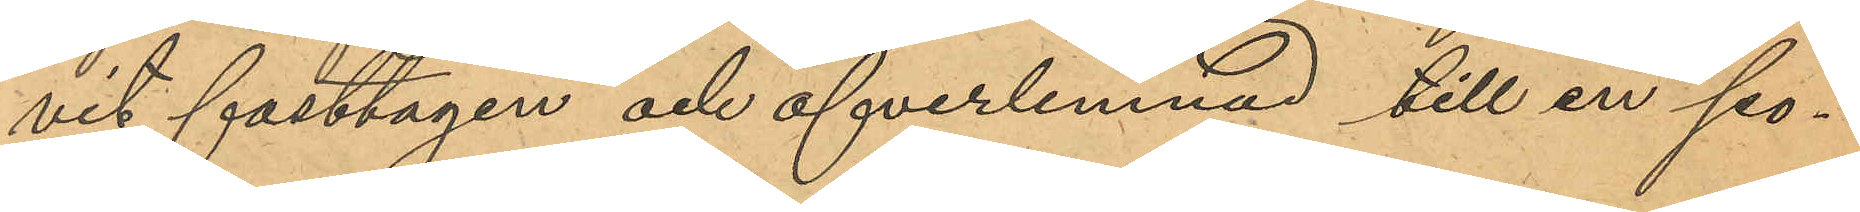vit fasttagen och öfverlemnad till en po¬
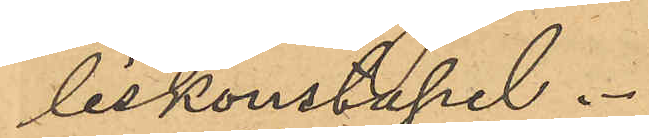liskonstapel.
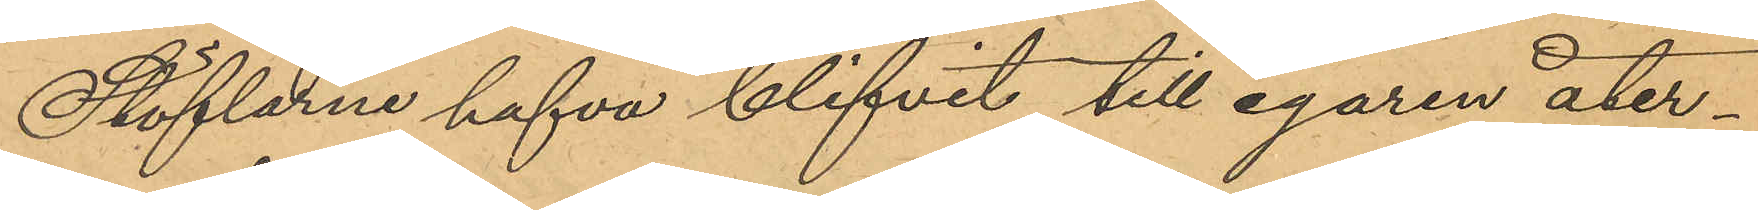Stöflarne hafva blifvit till egaren åter¬
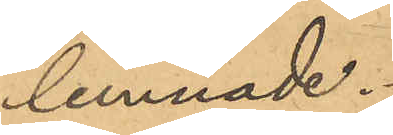lemnade.
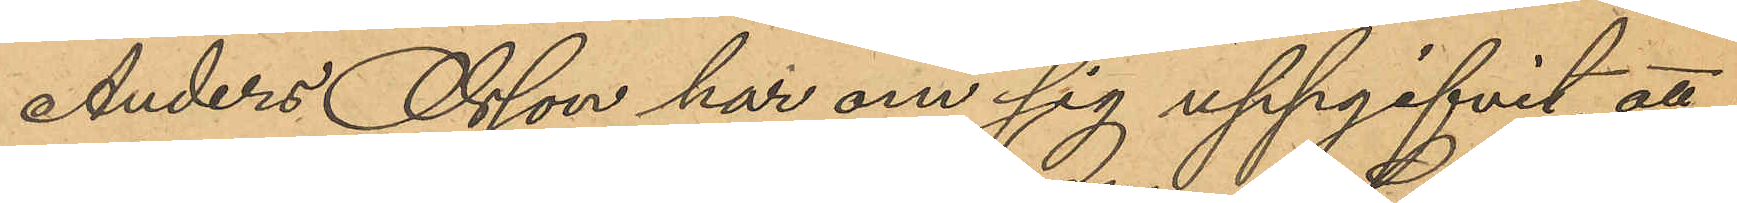Anders Olsson har om sig uppgifvit, att
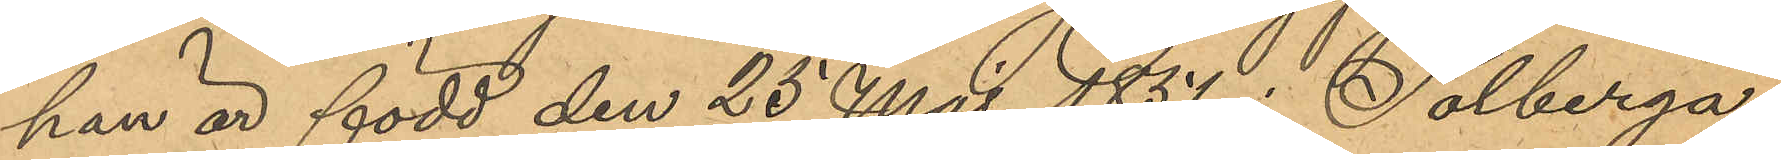han är född den 25 Maj 1851 i Solberga
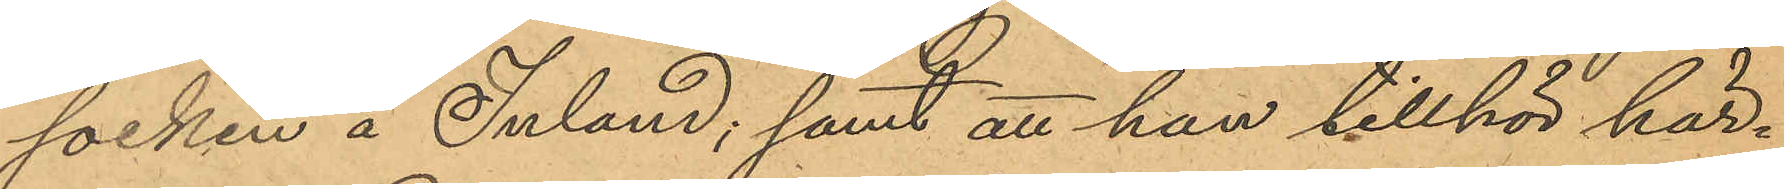socken å Inland; samt att han tillhör här¬
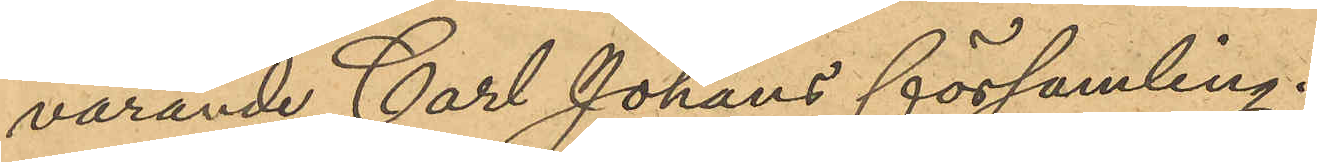varande Carl Johans församling.
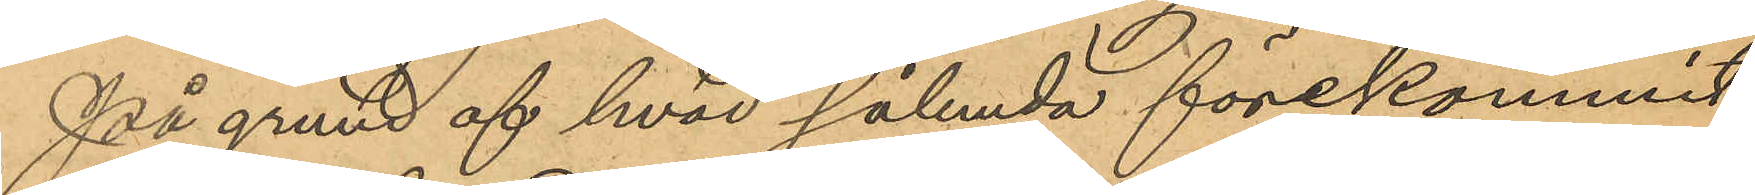På grund af hvad sålunda förekommit
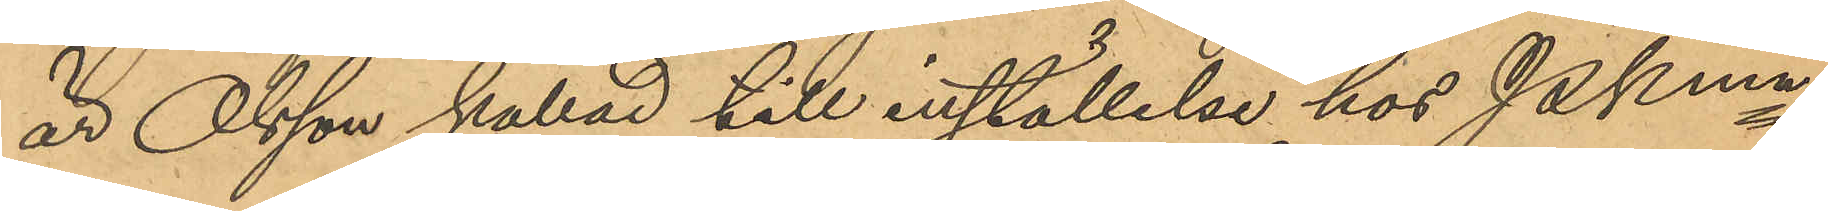är Olsson kallad till inställelse hos Pkmn
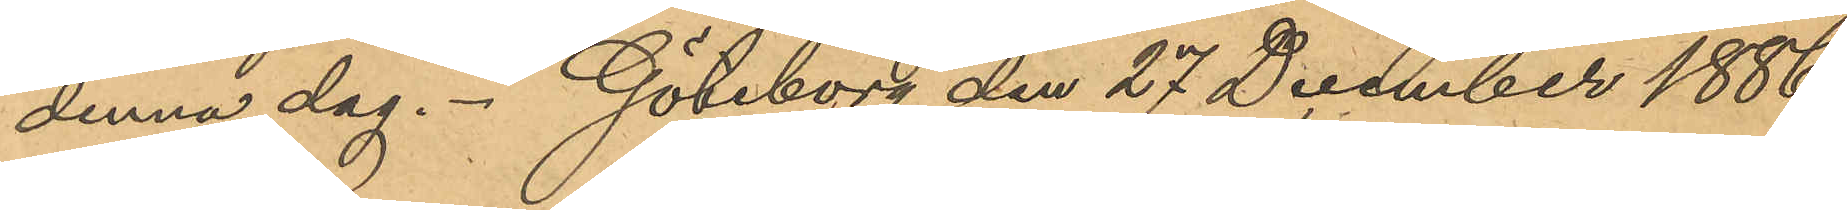denna dag. Göteborg den 27 December 1886.
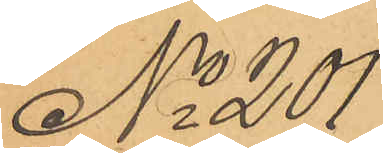No 201
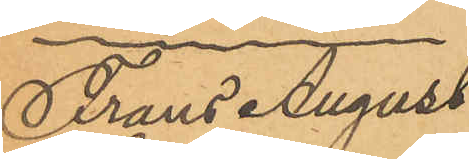Frans August
